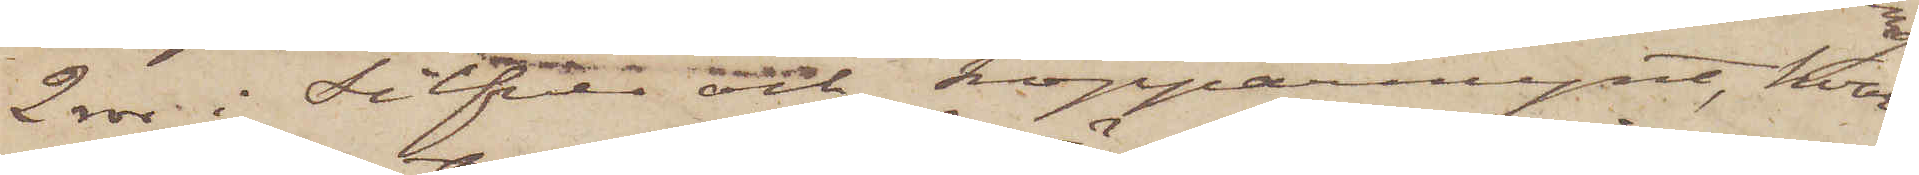2 rdr i silfver och kopparmynt, hvar¬
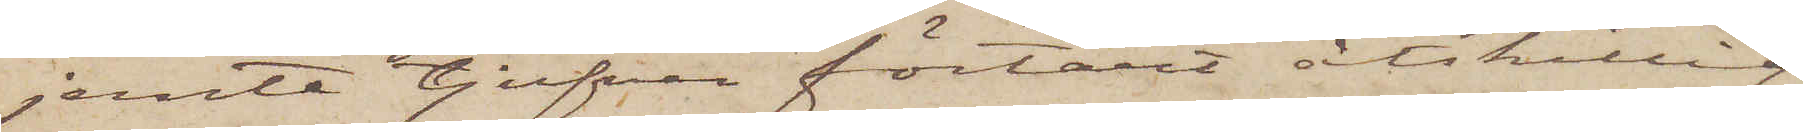jemte tjufven förtärt åtskillig
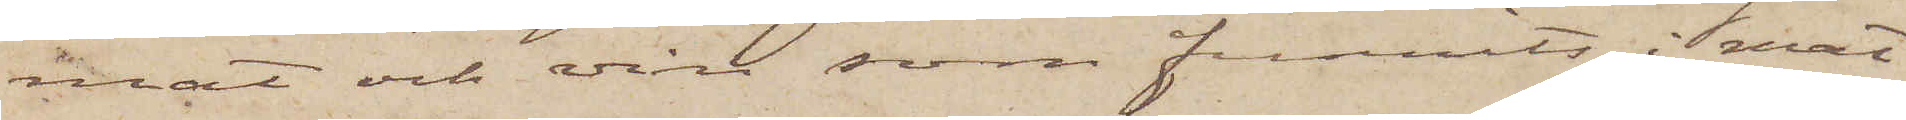mat och vin, som funnits i mat¬
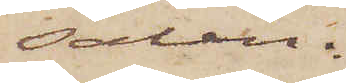salen.
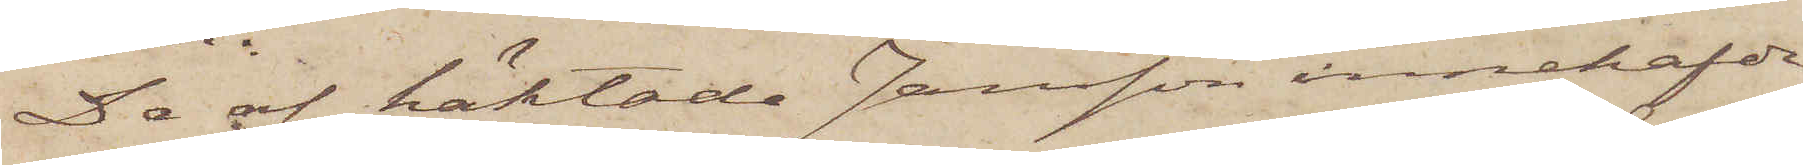De af häktade Jansson innehafde
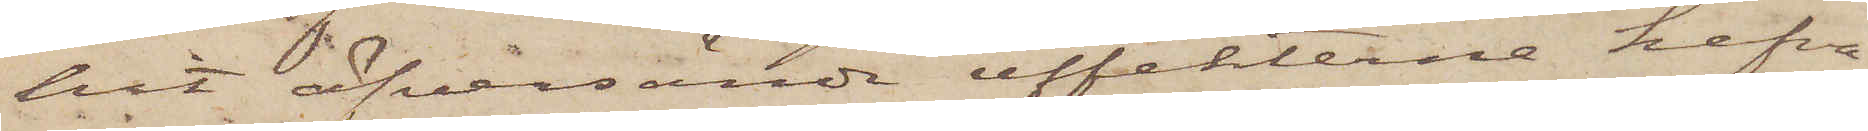hit öfversände effekterne hafva
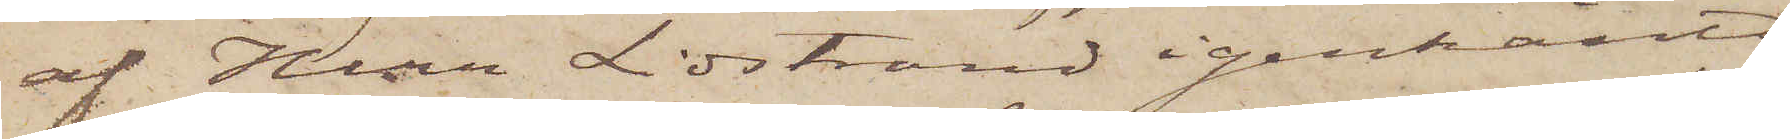af Herr Lidstrand igenkänts
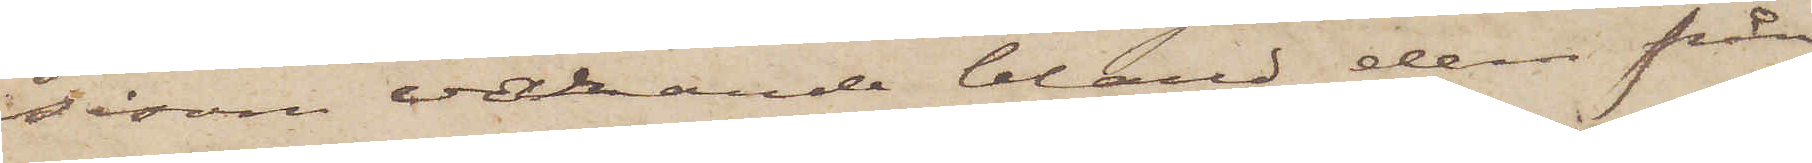såsom varande bland dem från
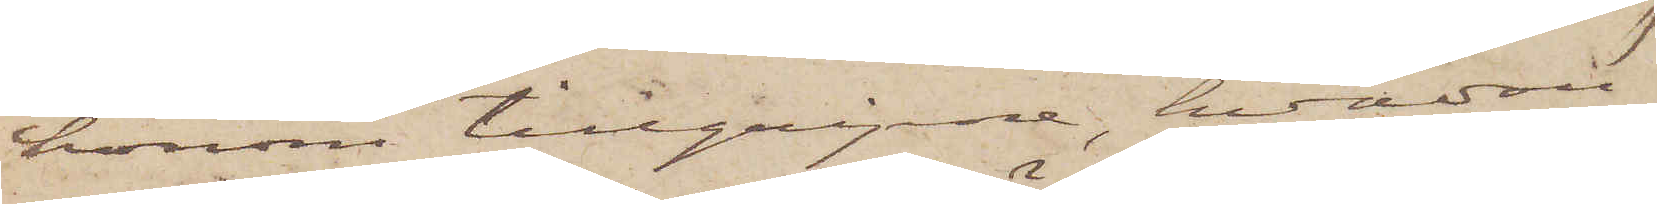honom tillgripne, hvadan
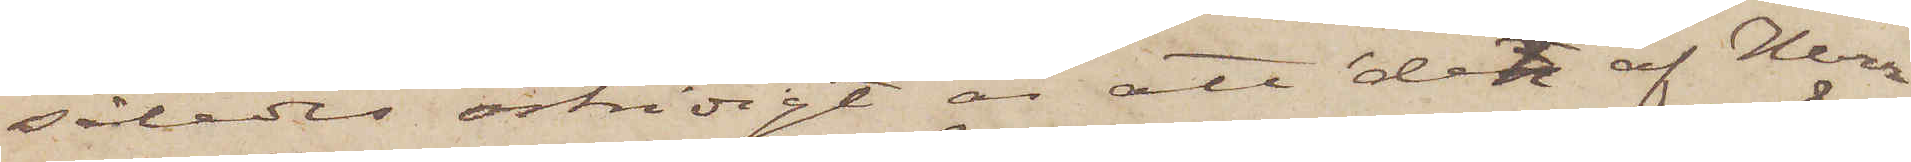således ostridigt är att det af Herr
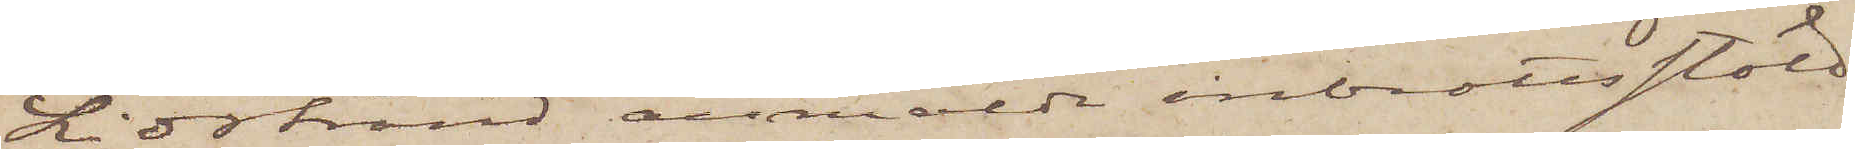Lidstrand anmälda inbrottsstöld
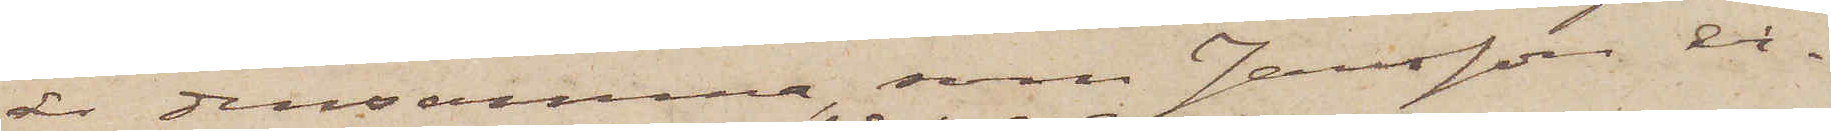är densamma, som Jansson er¬
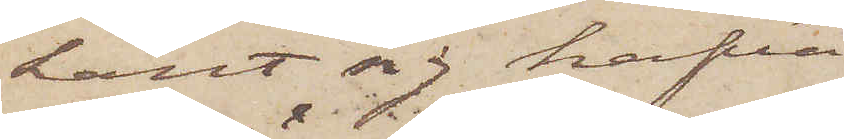känt sig hafva
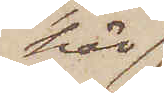här
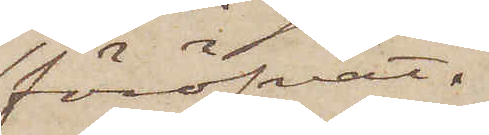föröfvat.
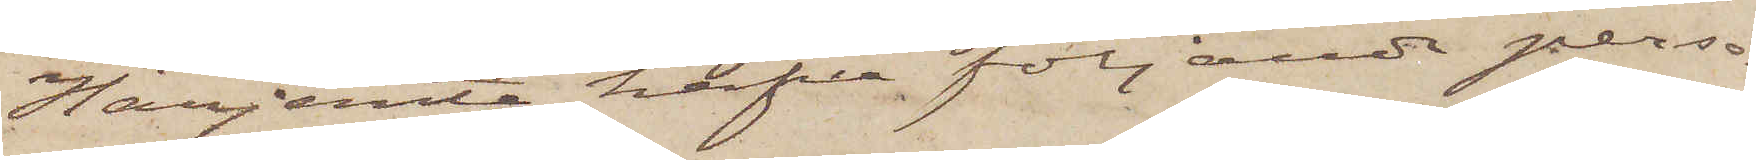Härjemte hafva följande perso¬
